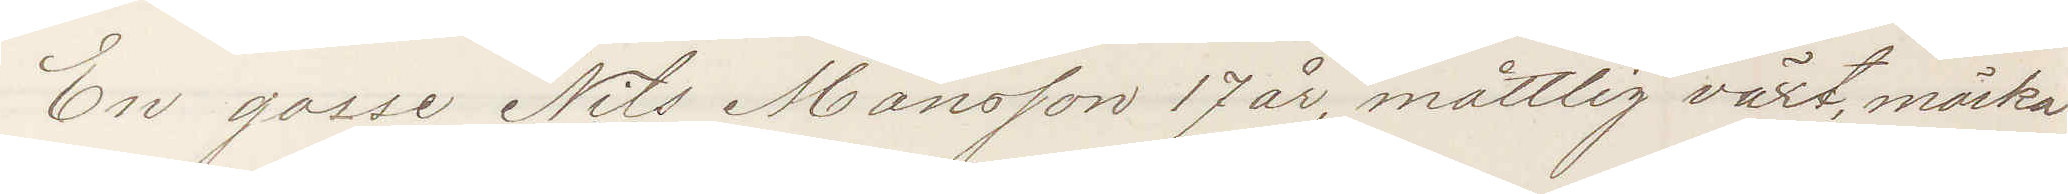En gosse Nils Månsson 17 år, måttlig växt, mörka
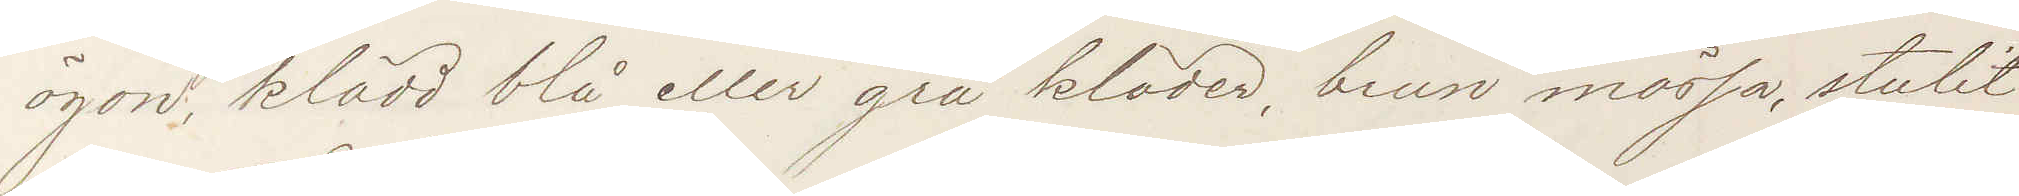ögon, klädd blå eller grå kläder, brun mössa, stulit
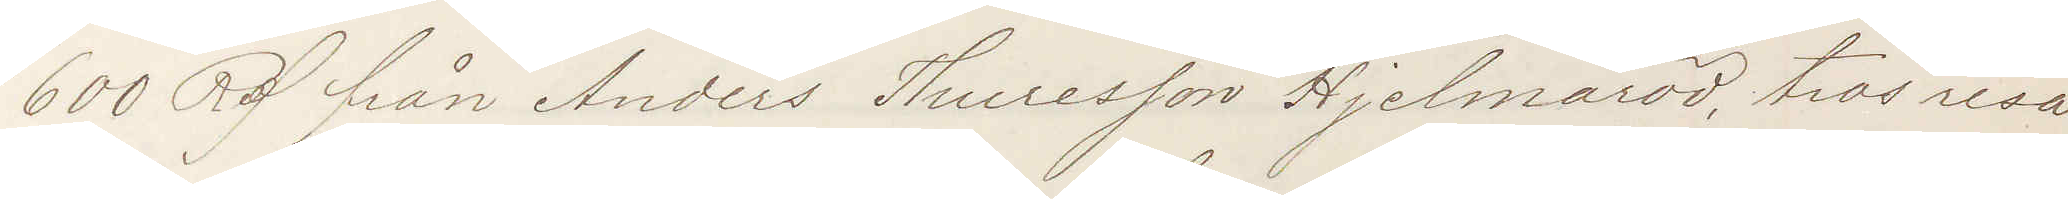600 Rd från Anders Thuresson Hjelmaröd, tros resa
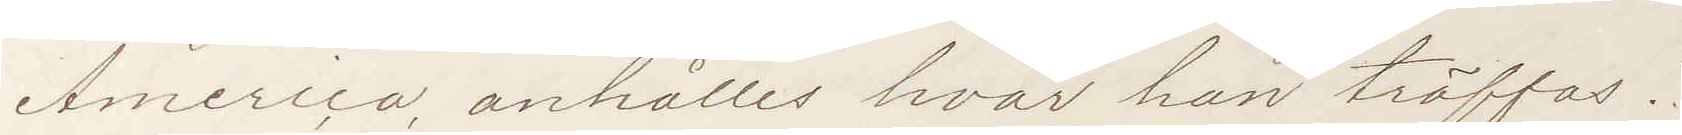America, anhålles hvar han träffas!
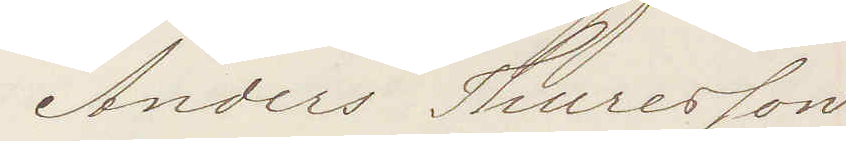Anders Thuresson
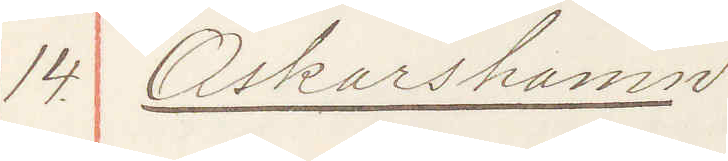14. Oskarshamn
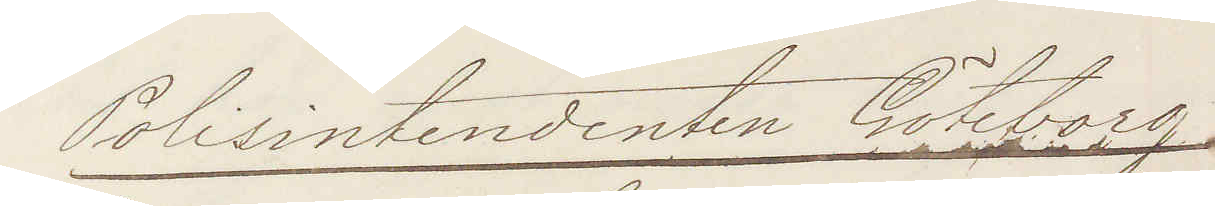Polisintendenten Göteborg.
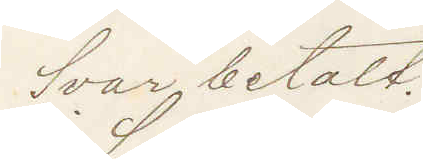Svar betalt.
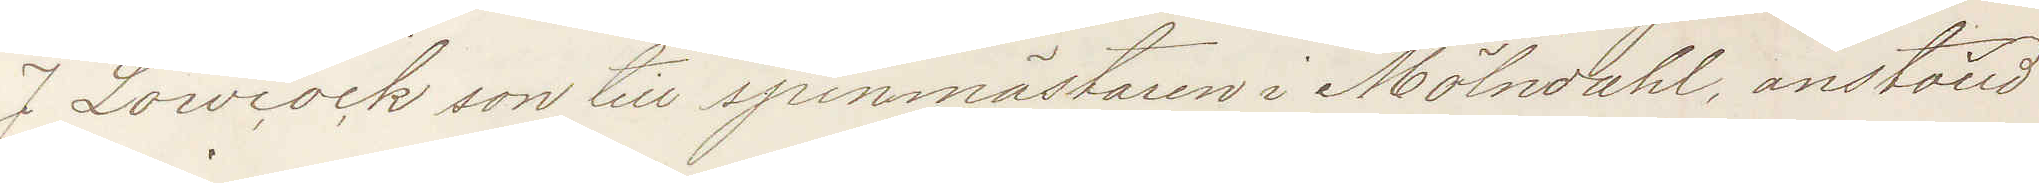J Lowcock son till spinnmästaren i Mölndahl, anställd
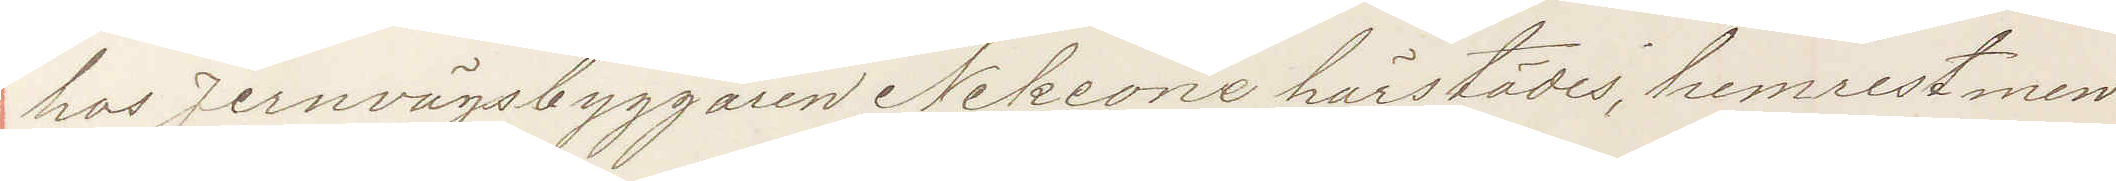hos Jernvägsbyggaren Nekeone härstädes, hemrest men
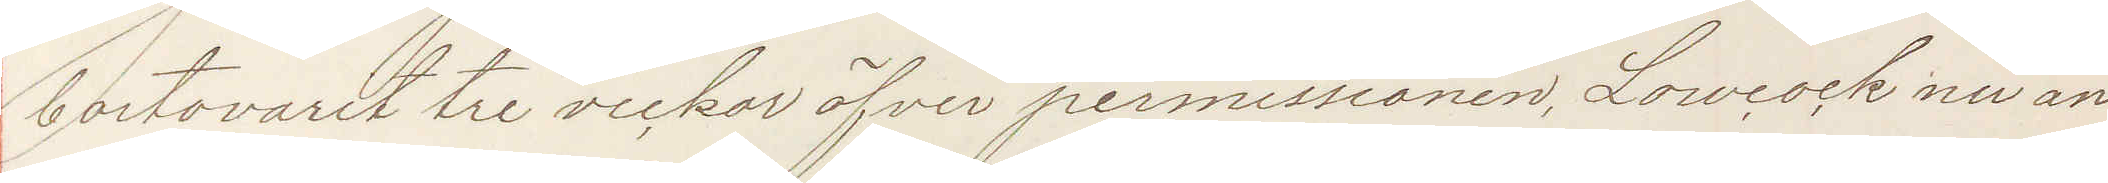bortovarit tre veckor öfver permissionen Lowcock nu an¬
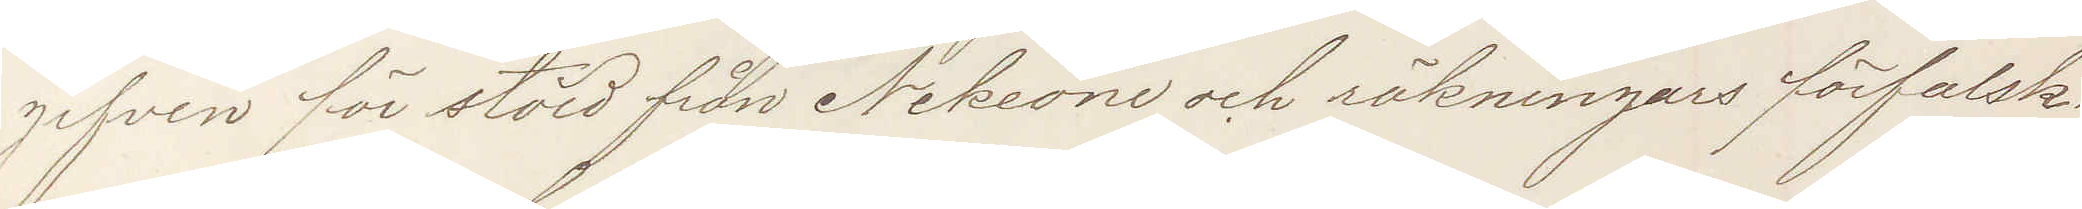gifven för stöld från Nekeone och räkningars förfalsk¬
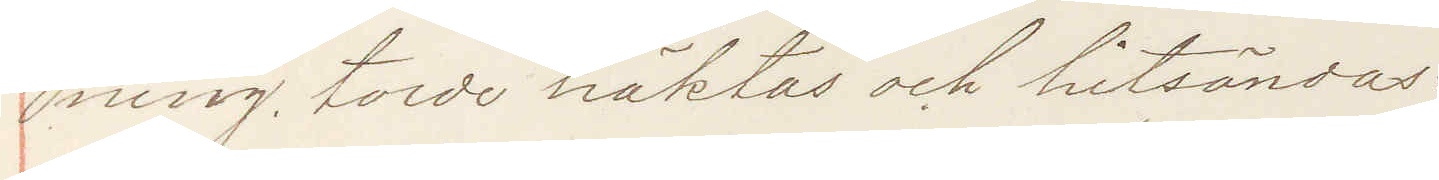ning. torde häktas och hitsändas:
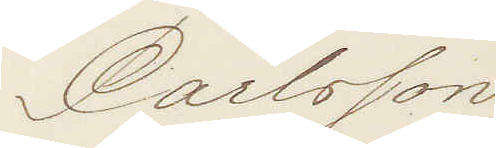Carlsson
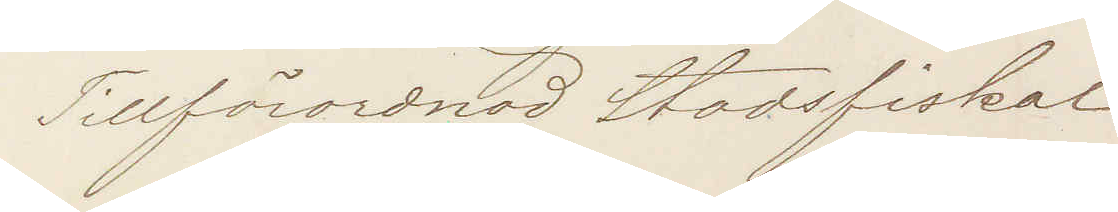Tillförordnad Stadsfiskal
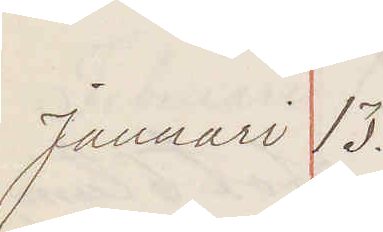Januari 13.
